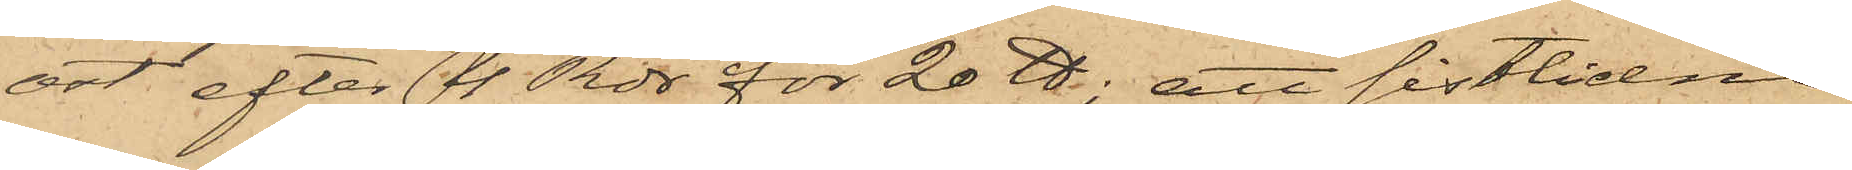ost efter 4 rdr för 20 ℔; att sistlidne
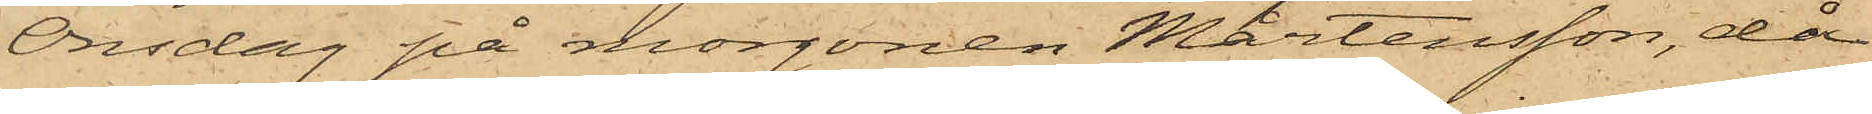Onsdag på morgonen Mårtensson, då
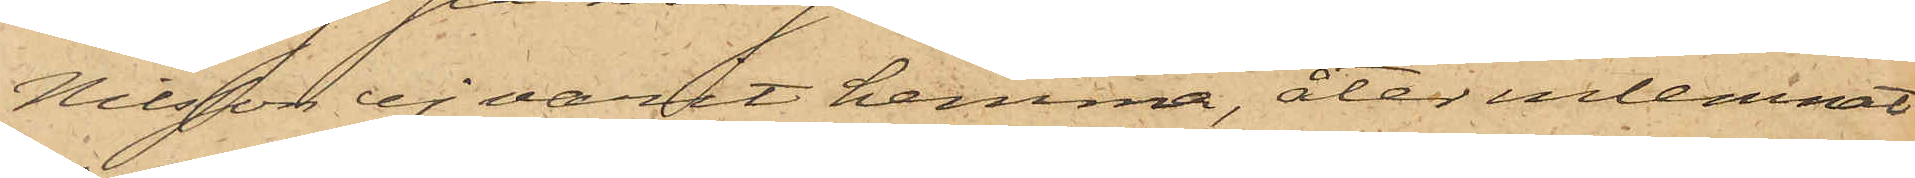Nilsson ej varit hemma, åter inlemnat
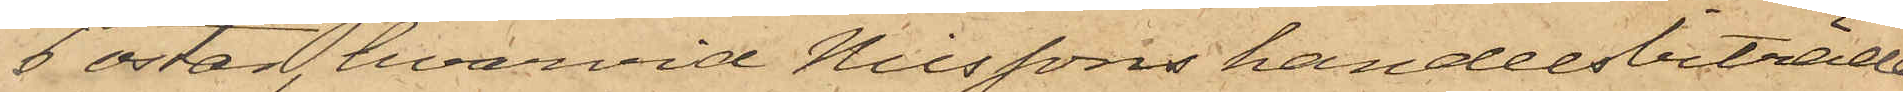6 ostar, hvarvid Nilssons handelsbiträde
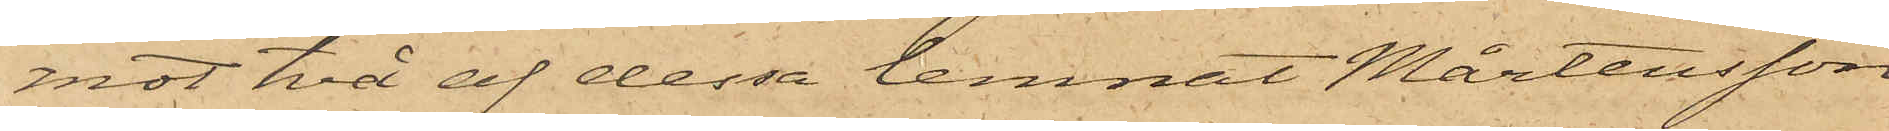mot två af dessa lemnat Mårtensson
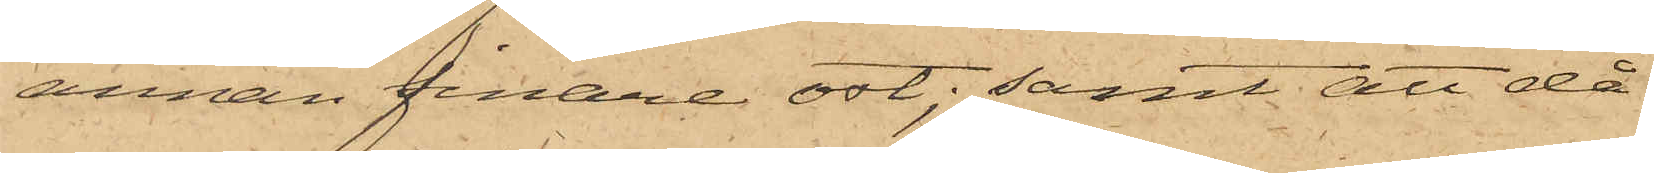annan finare ost; samt att då
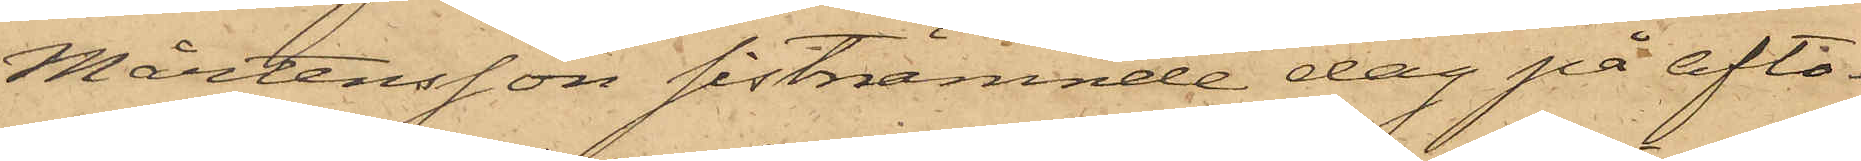Mårtensson sistnämnde dag på afto¬
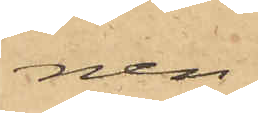nen
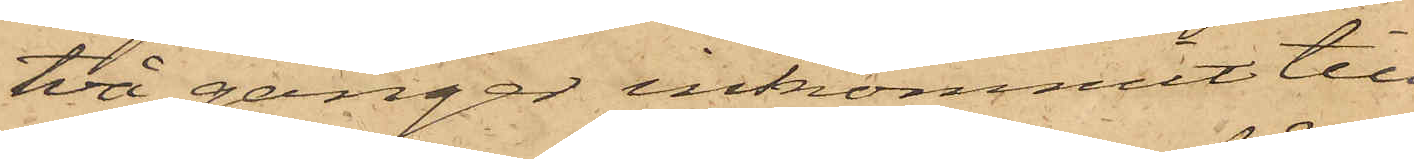två gånger inkommit till
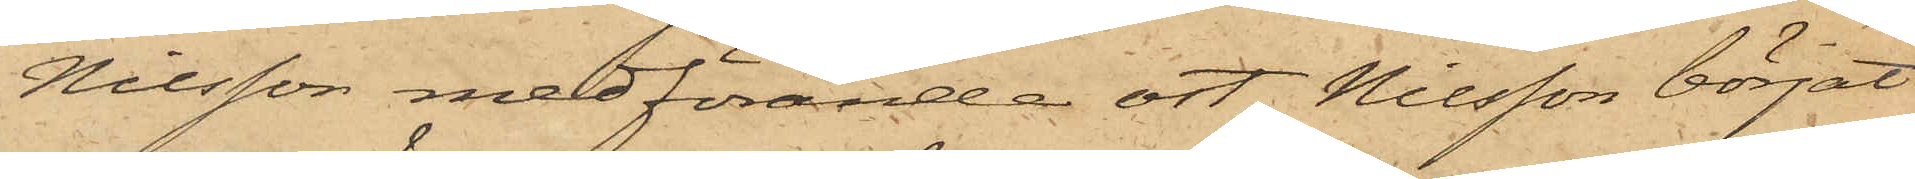Nilsson medförande ost, Nilsson börjat
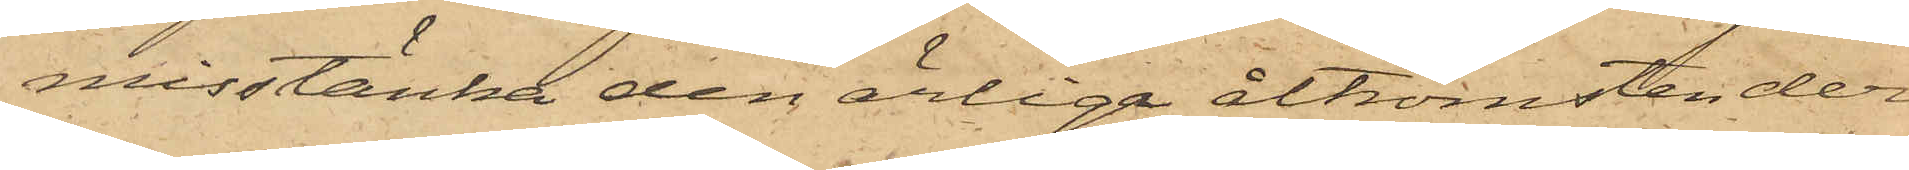misstänka den ärliga åtkomsten der¬
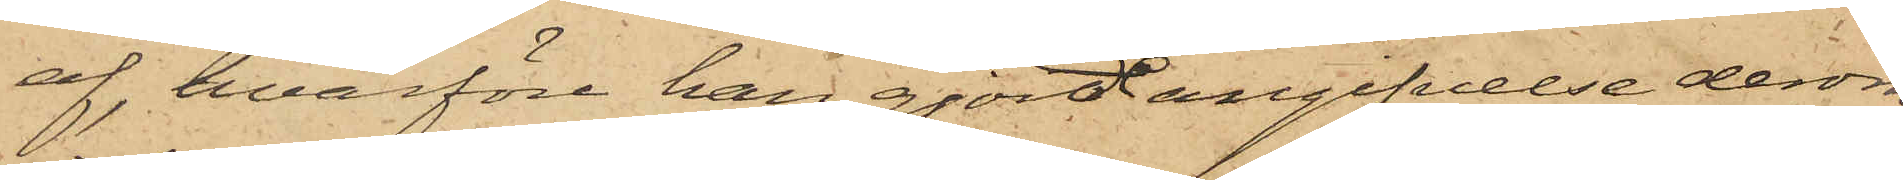af, hvarföre han gjorde angifvelse derom
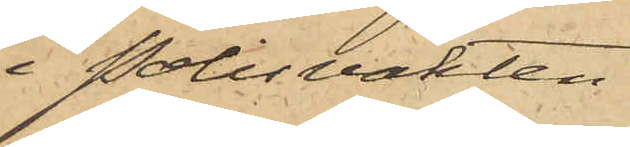i Polisvakten.
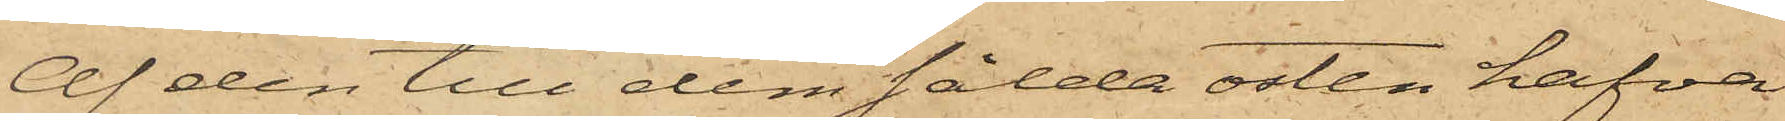Af den till dem sålda osten hafva
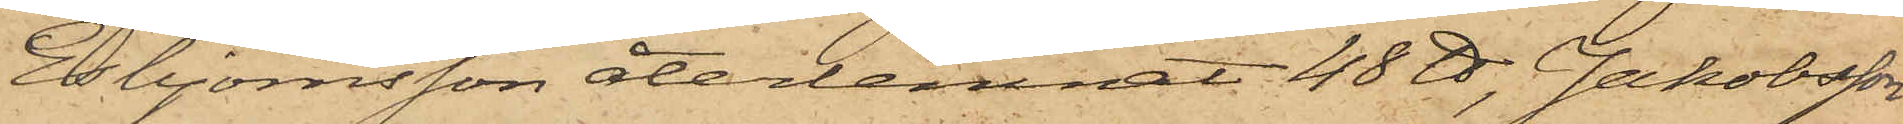Esbjörnsson återlemnat 48 ℔, Jakobsson
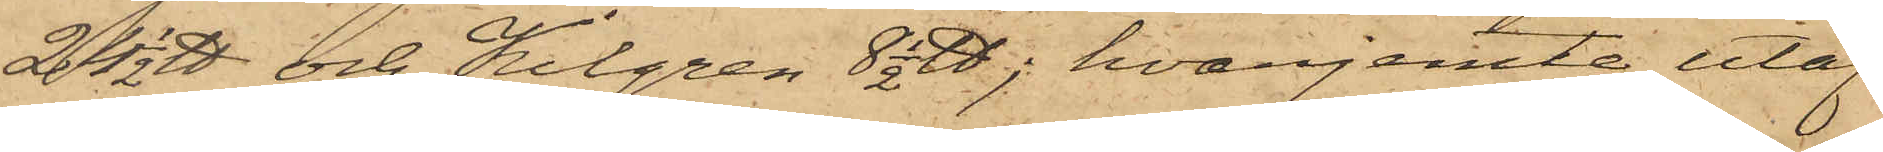24 1/2 ℔ och Kilgren 8 1/2 ℔, hvarjemte utaf
